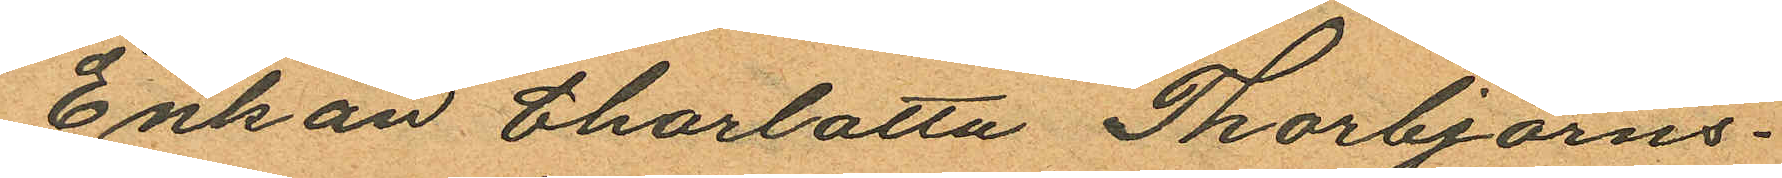Enkan Charlotta Thorbjörns¬
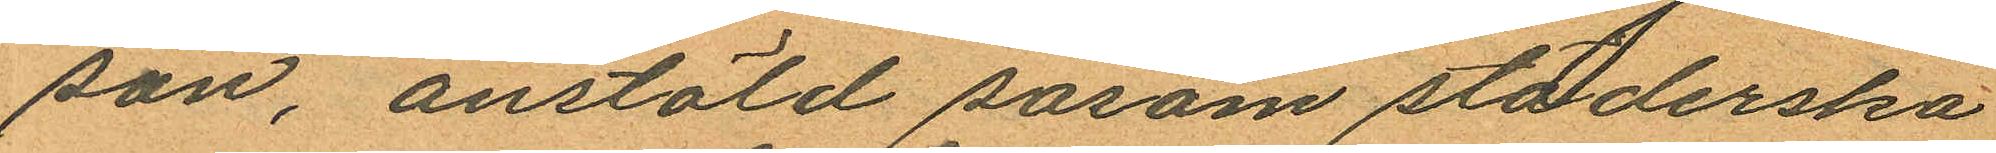son, anstäld såsom städerska
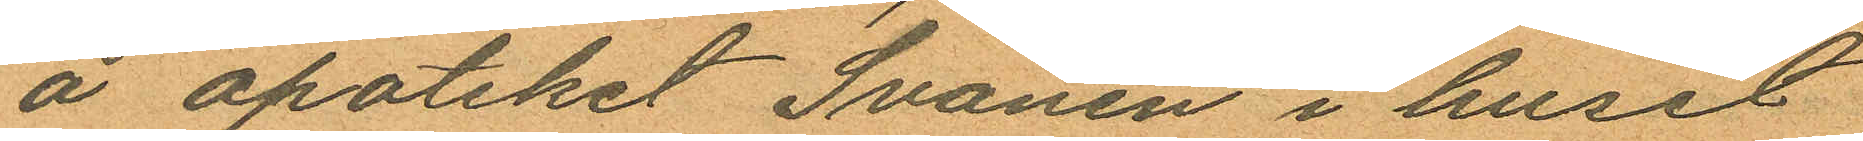å apoteket Svanen i huset
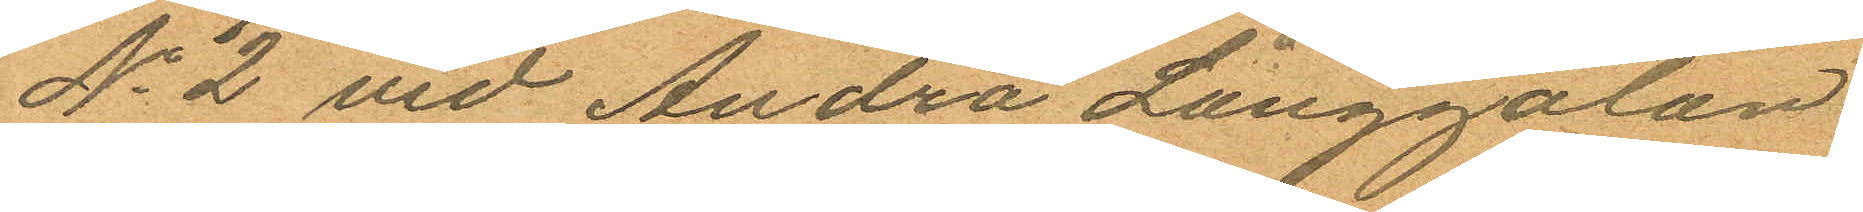No 2 vid Andra Långgatan
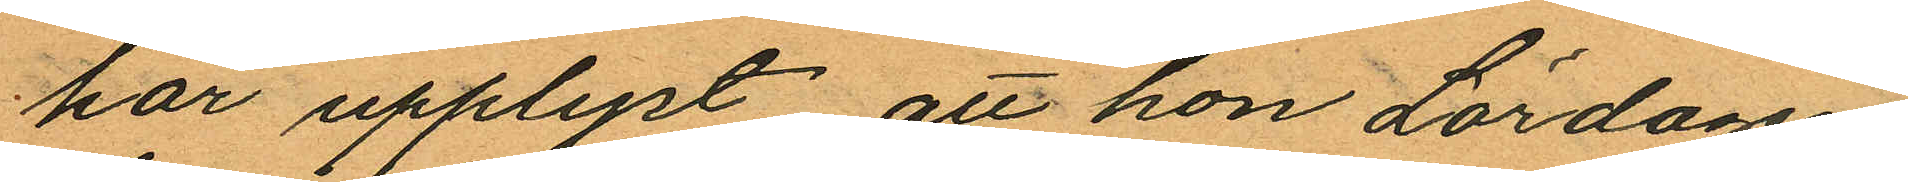har upplyst, att hon Lördagen
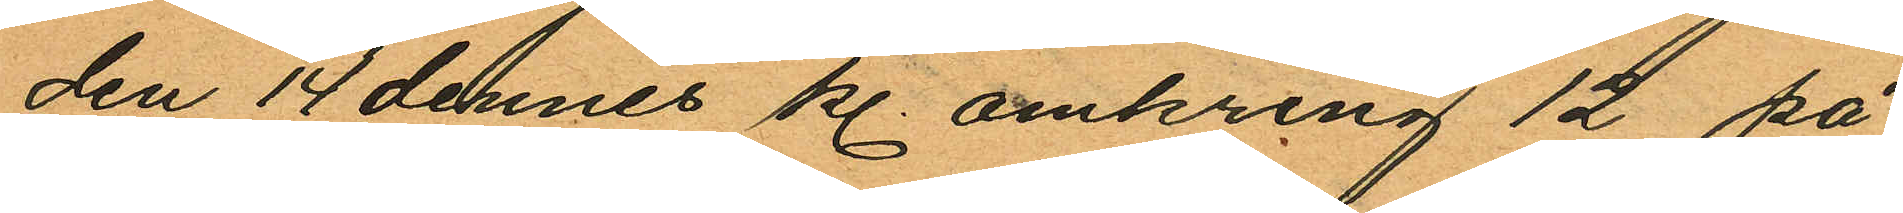den 14 dennes kl. omkring 12 på
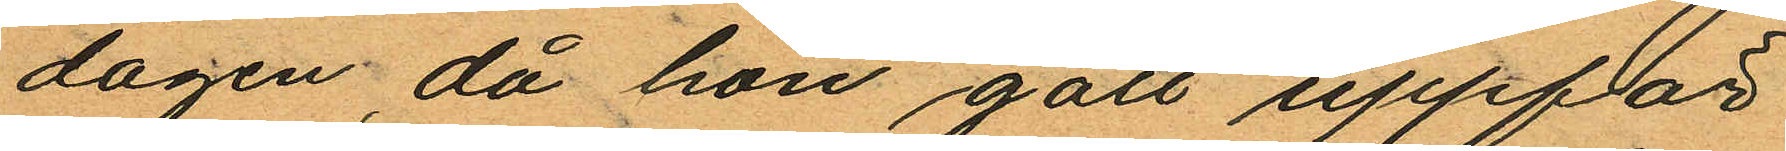dagen, då hon gått uppför
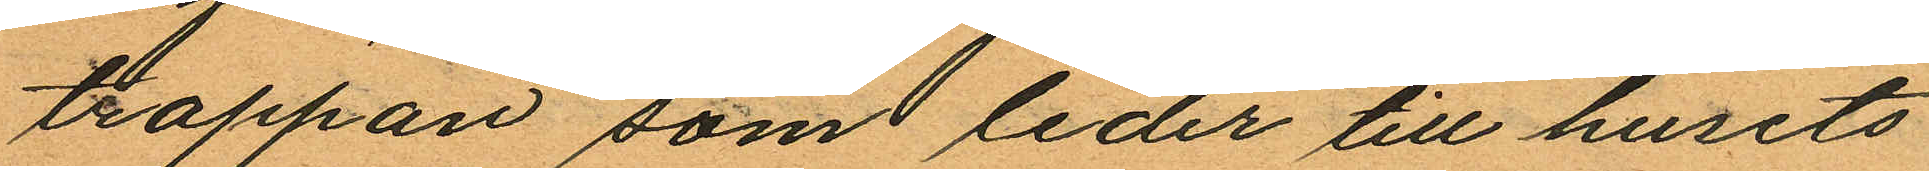trappan som leder till husets
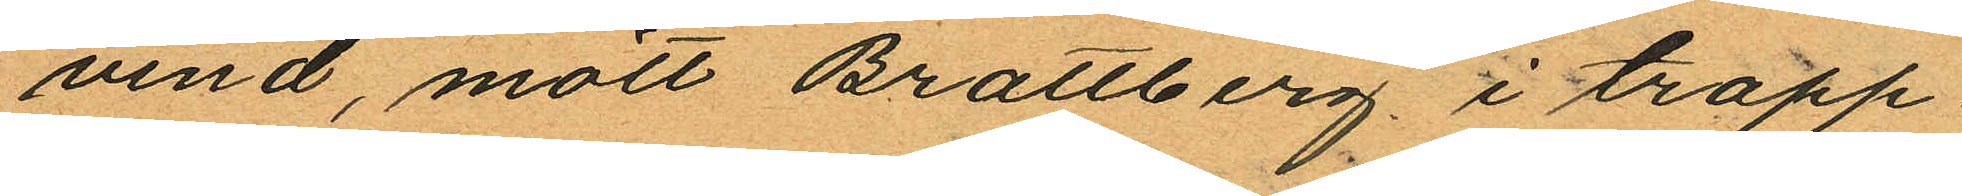vind, mött Brattberg i trapp¬
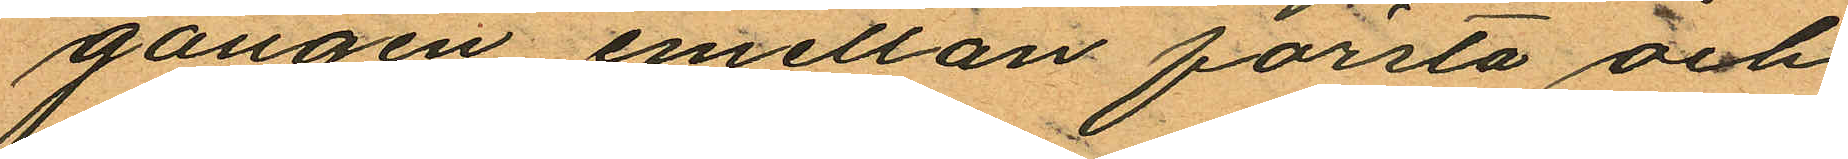gången emellan första och
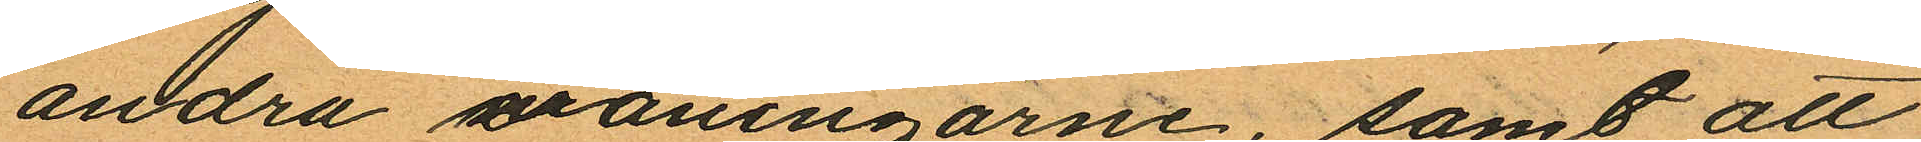andra våningarne, samt att
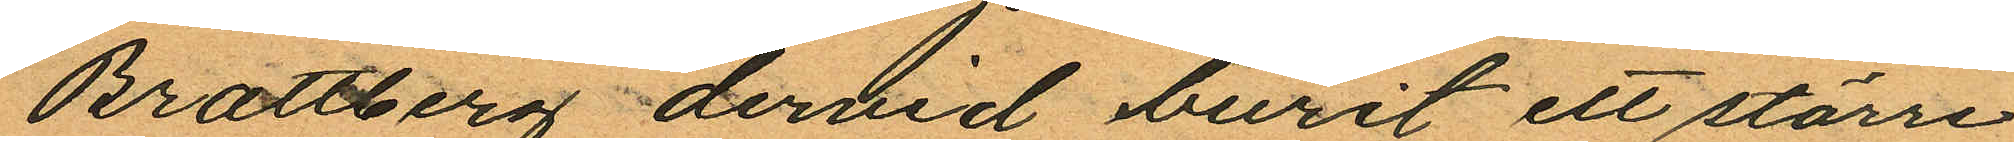Brattberg dervid burit ett större
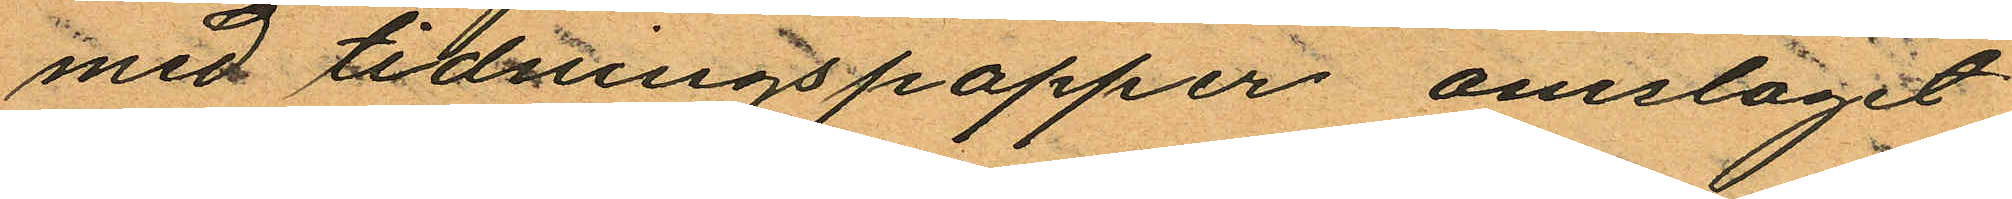med tidningspapper omslaget
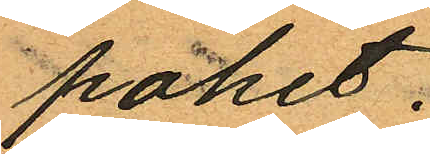paket.
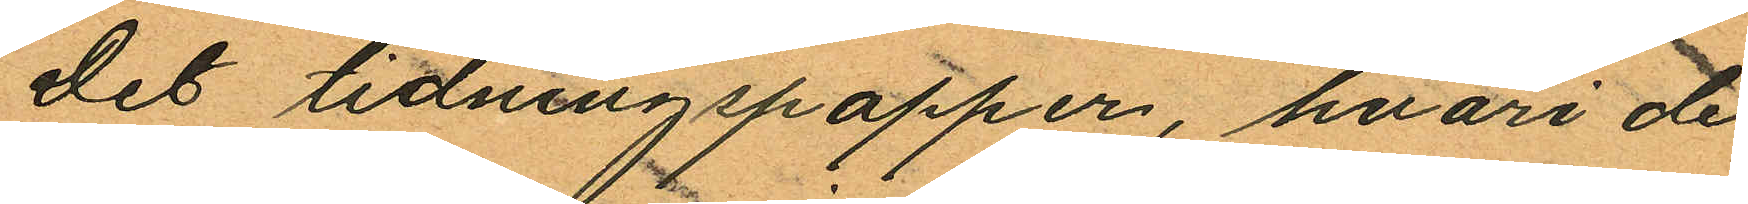Det tidningspapper, hvari de
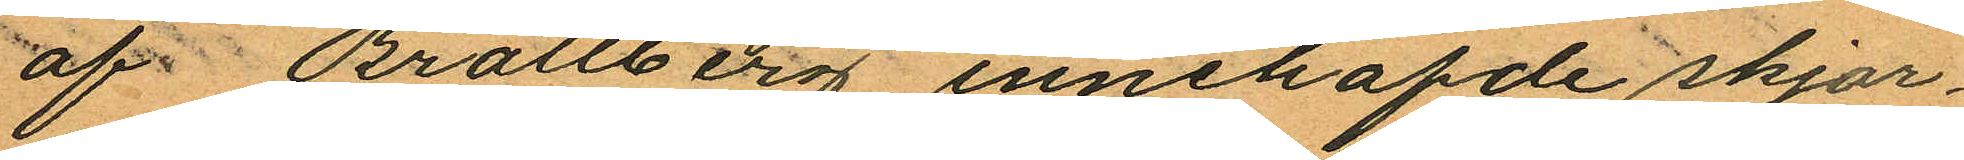af Brattberg innehafde skjor¬
